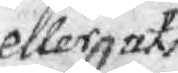eller uti
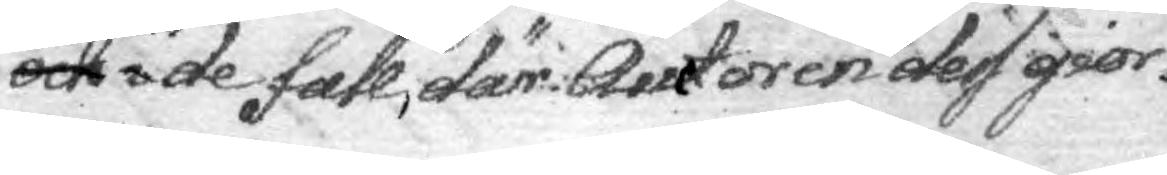och i de fall, där Autoren des gior¬
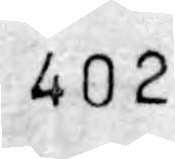402
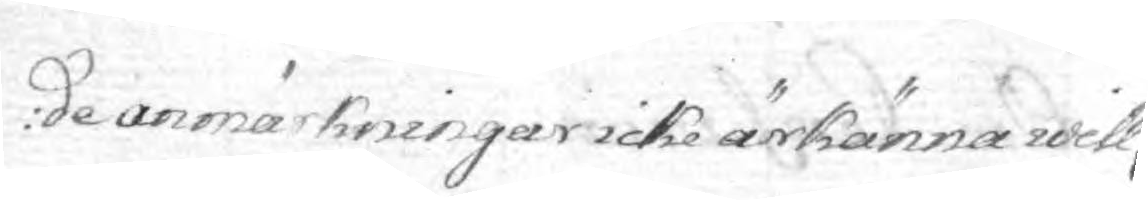de anmärkningar icke ärkänna will,
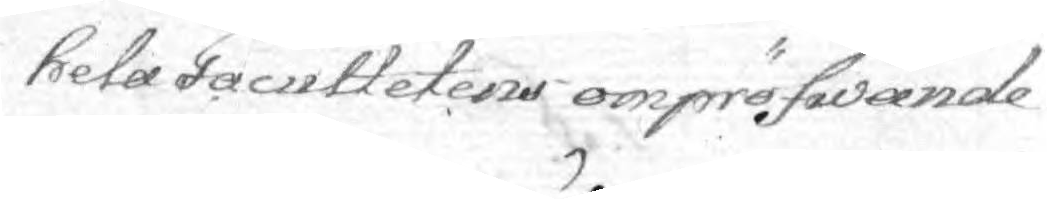hela Facultetens ompröfwande
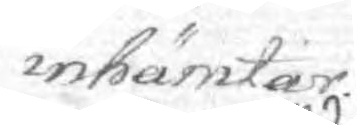inhämtar.
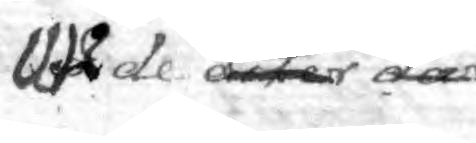Uti de orter där
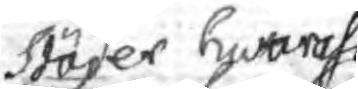städer hwaräst
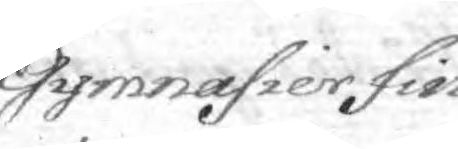Gymnasier fin¬
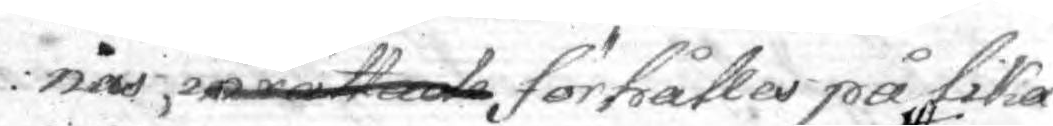nas inrättade förhålles på lika
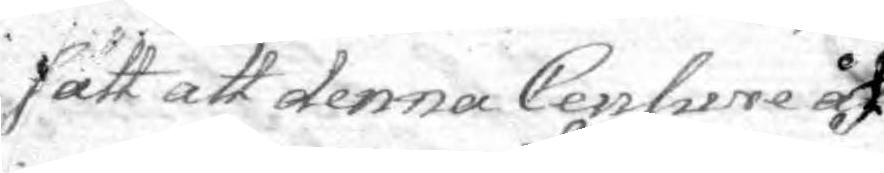sätt att denna Censure åt
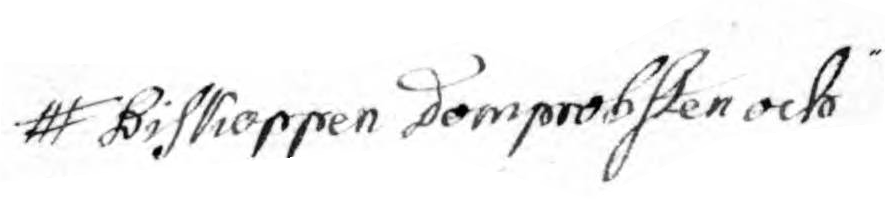Biskoppen Domprobsten och
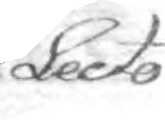Lecto¬
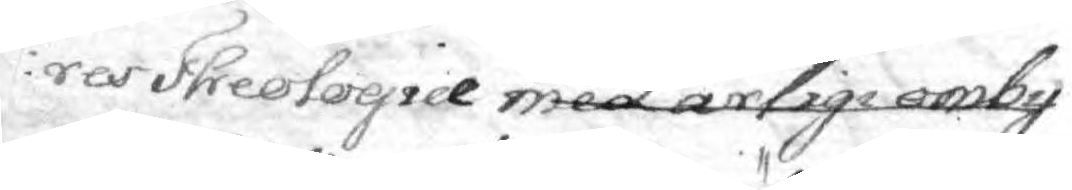res Theotogice med årlige omby 
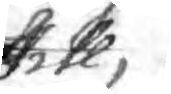till
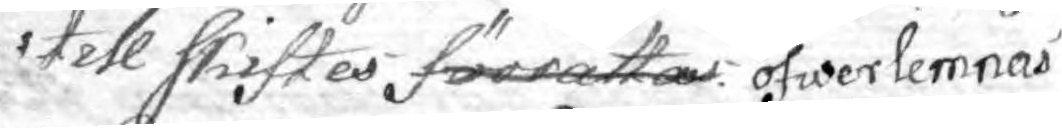till skiftes förrättas öfwerlemnas
